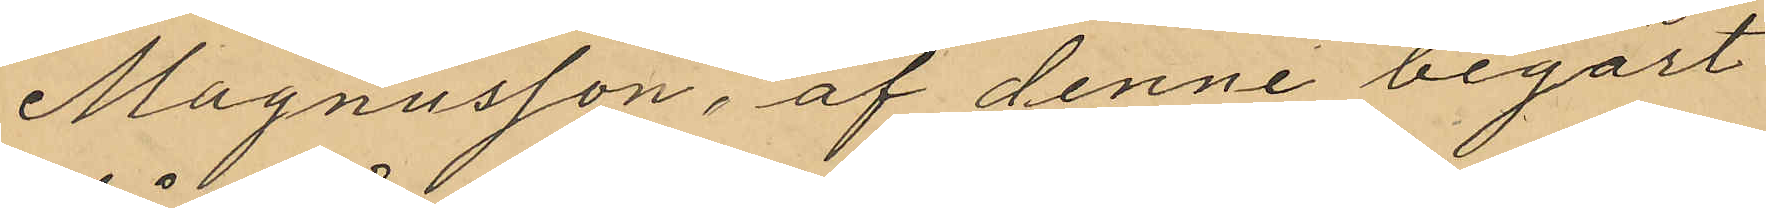Magnusson, af denne begärt
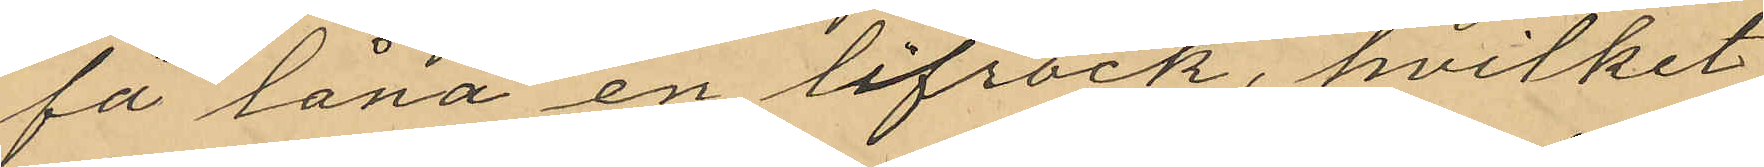få låna en lifrock, hvilket
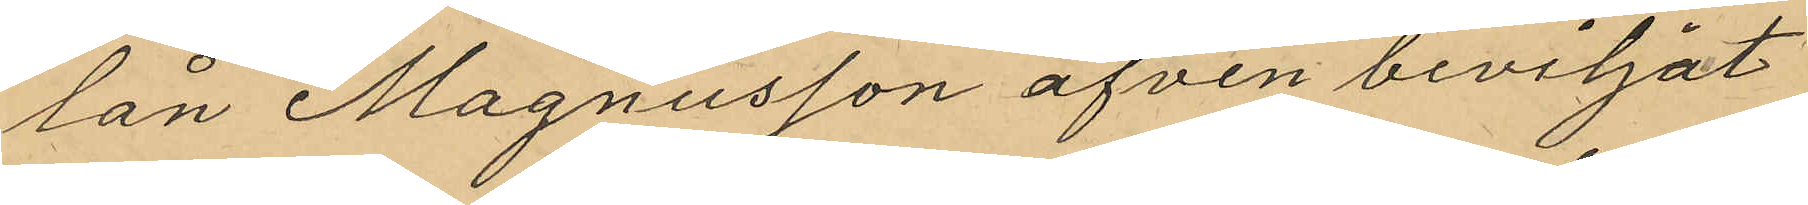lån Magnusson äfven beviljat
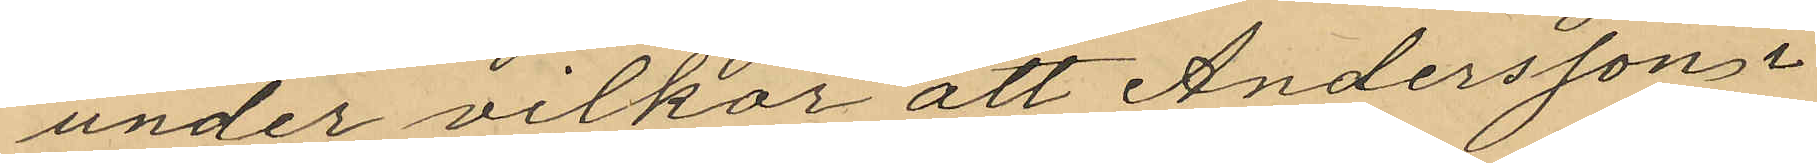under vilkor att Andersson i
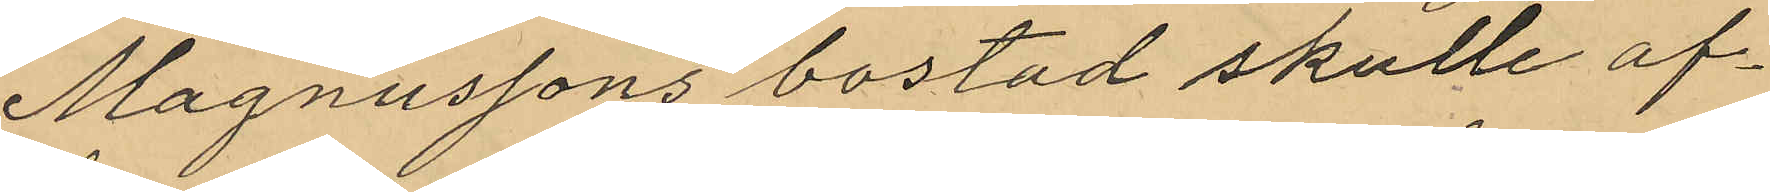Magnussons bostad skulle af¬
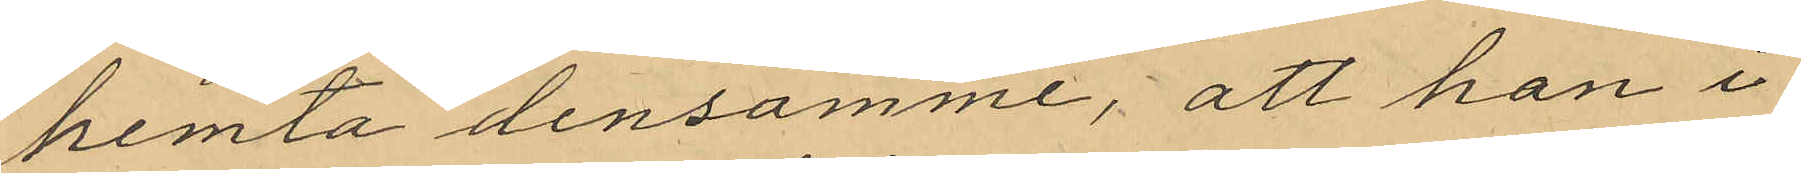hemta densamme, att han i
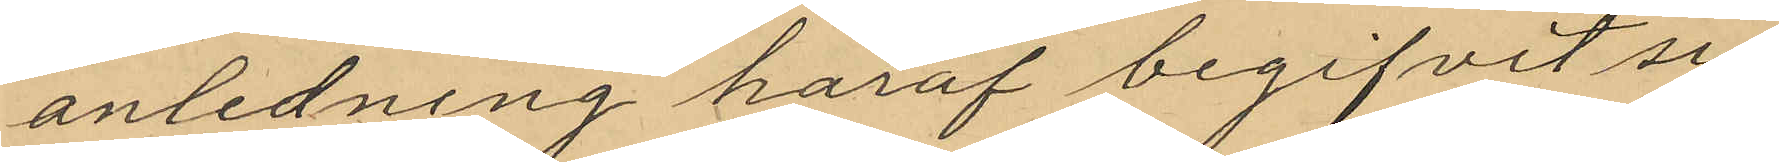anledning häraf begifvit sig
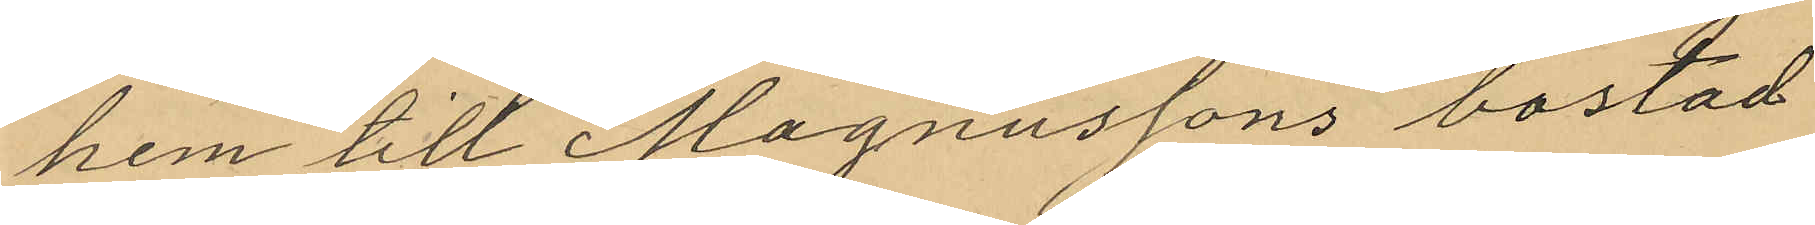hem till Magnussons bostad
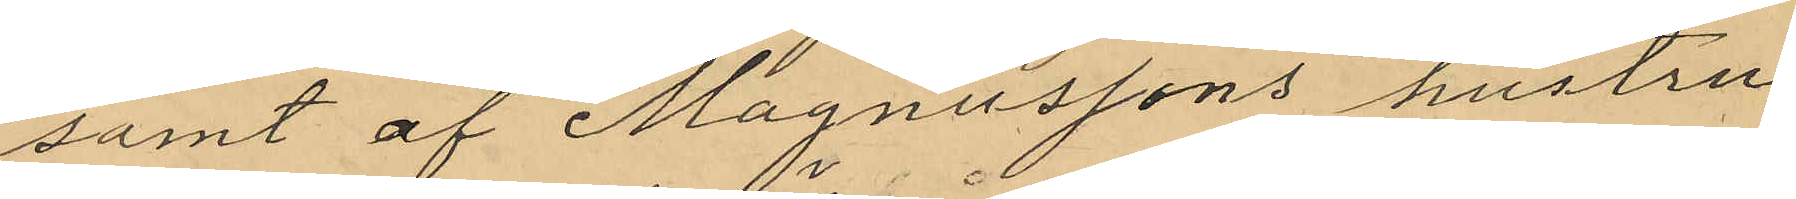samt af Magnussons hustru
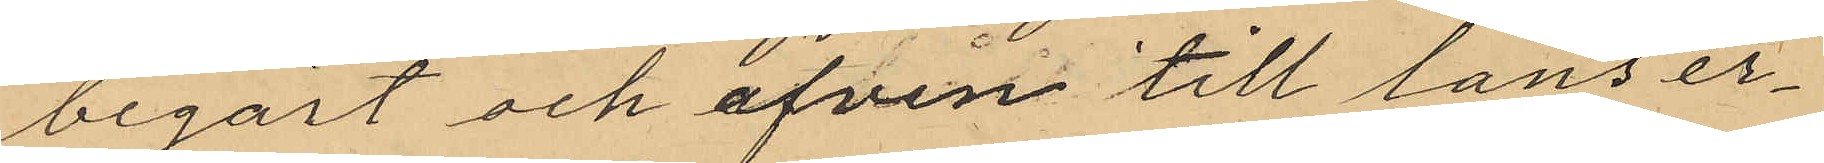begärt och äfven till låns er¬
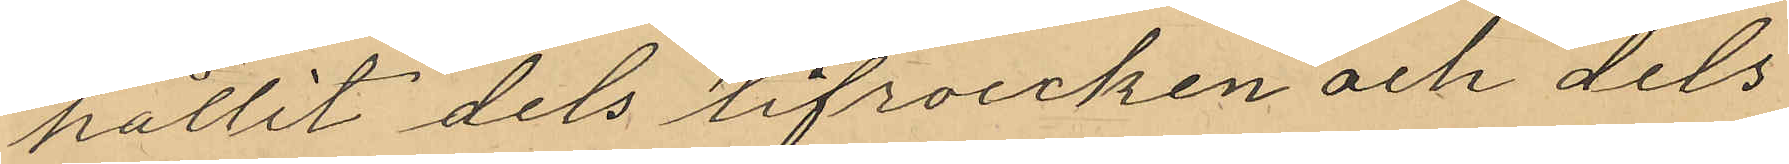hållit dels lifrocken och dels
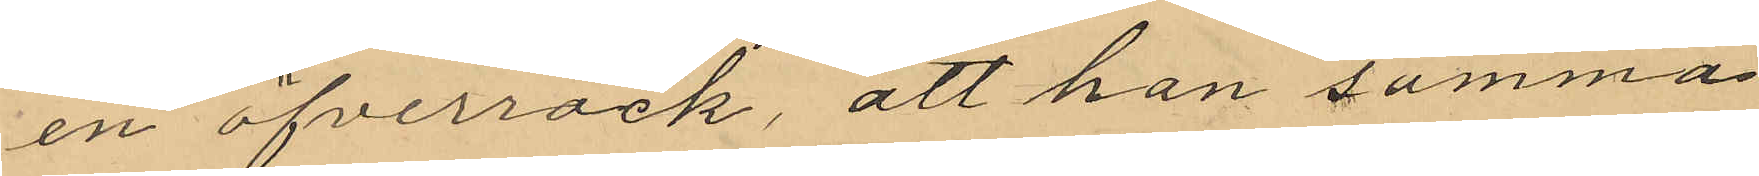en öfverrock, att han samma
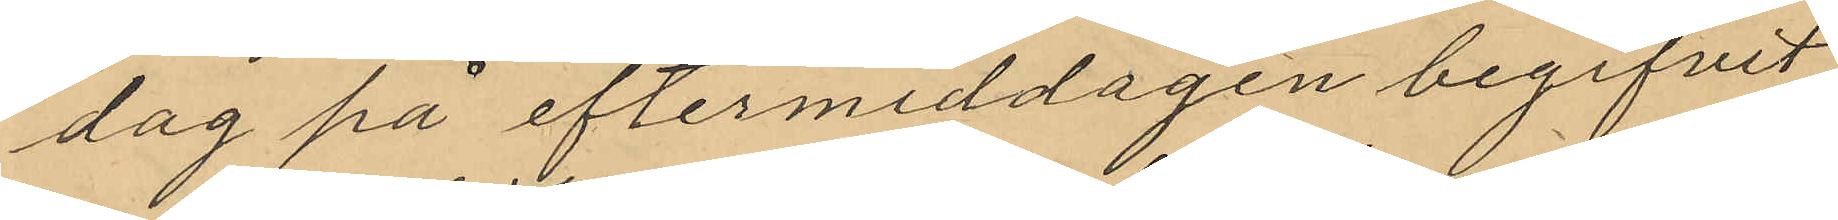dag på eftermiddagen begifvit
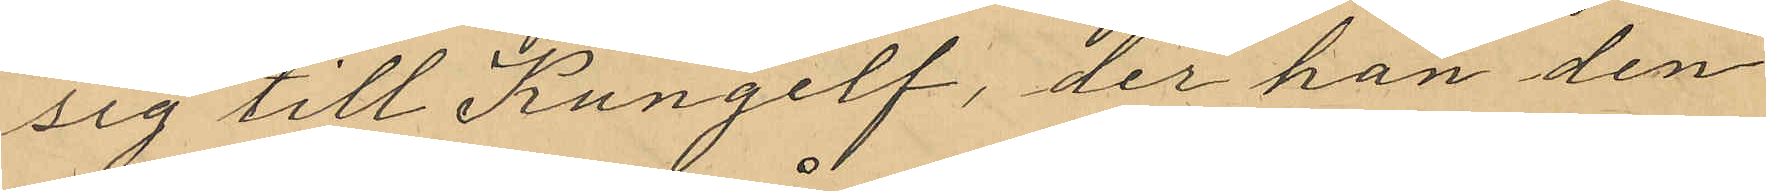sig till Kungelf, der han den
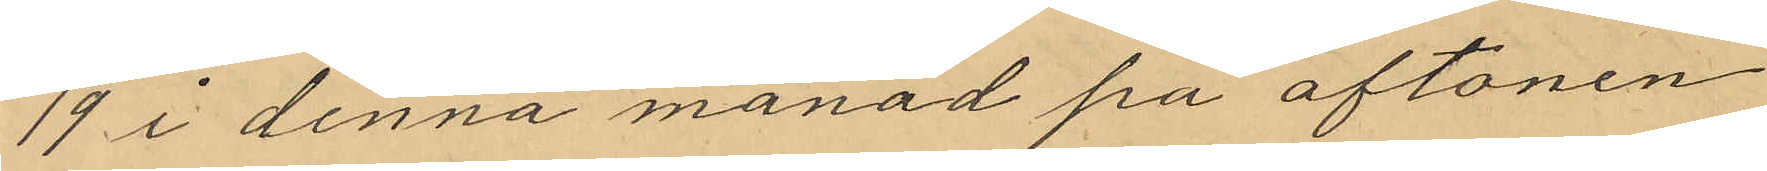19 i denna månad på aftonen
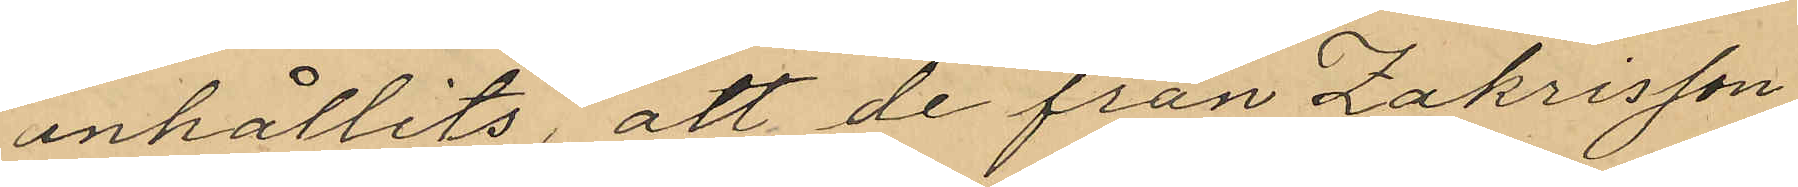anhållits, att de från Zakrisson
